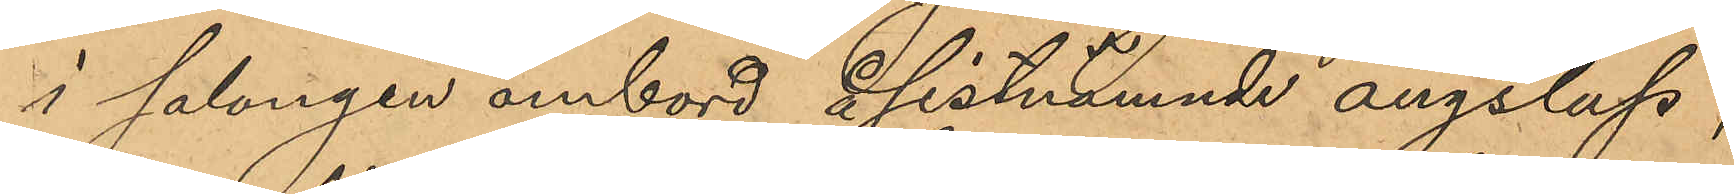i salongen ombord å sistnämnde ångslup,
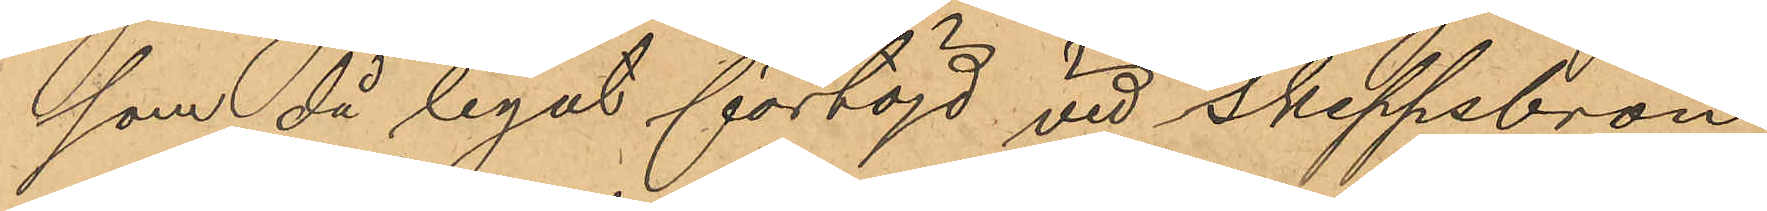som då legat förtöjd vid Skeppsbron
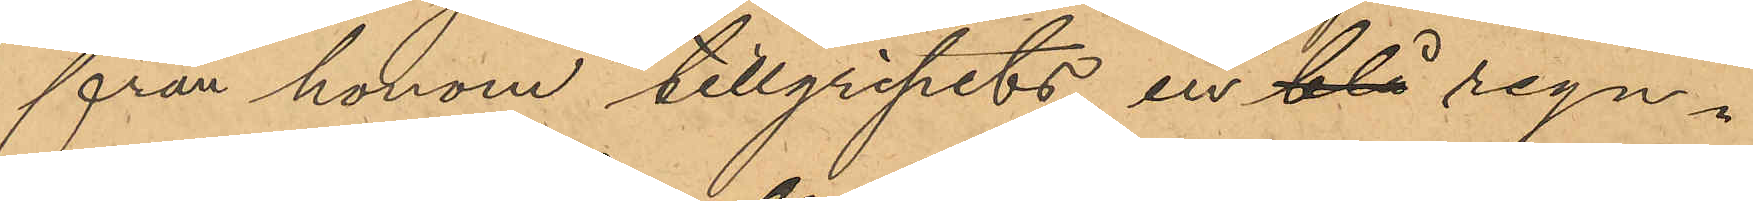från honom tillgripits en blå regn¬
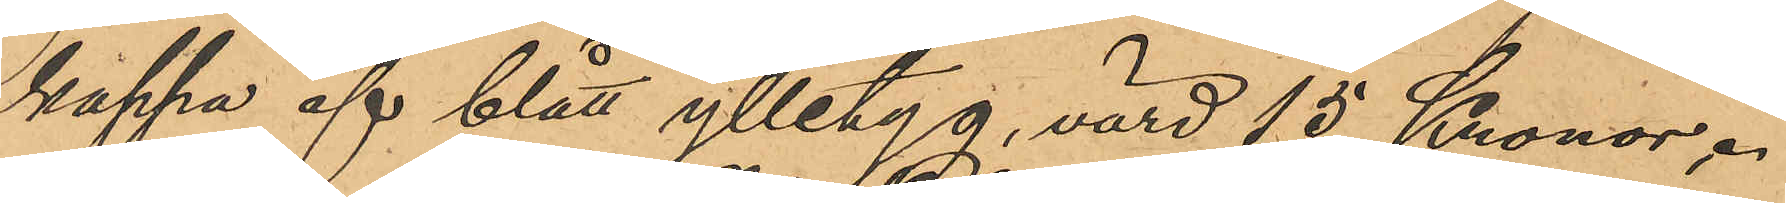kappa af blått ylletyg, värd 15 Kronor.
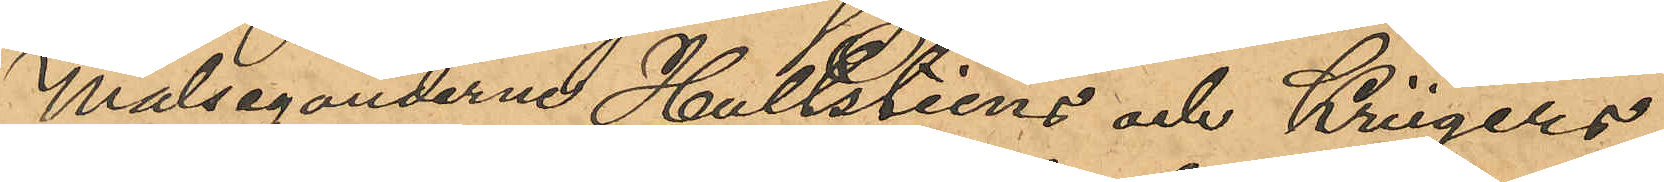Målseganderne Hultsteins och Krügers
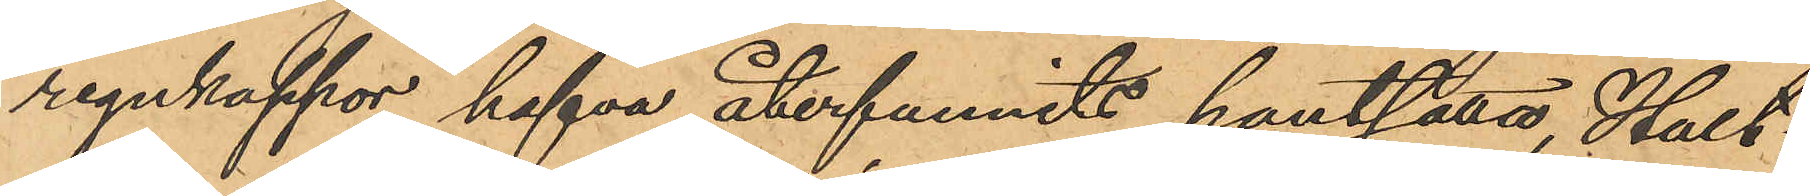regnkappor hafva återfunnits pantsatta, Hult¬
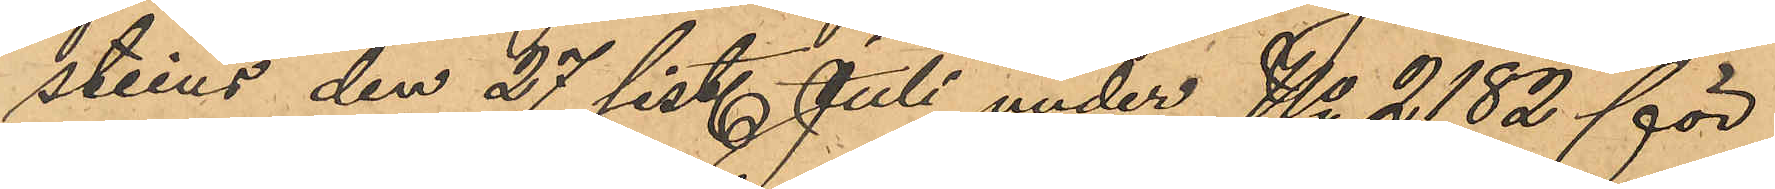steins den 27 sist. Juli under No 2182 för
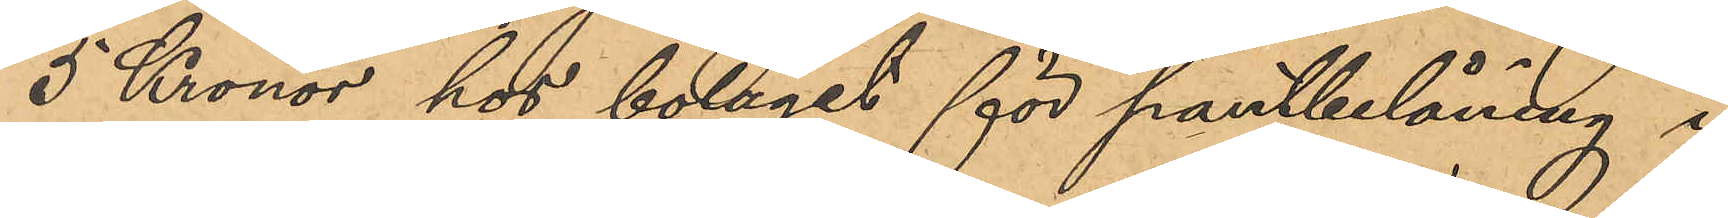5 Kronor hos bolaget för pantbelåning i
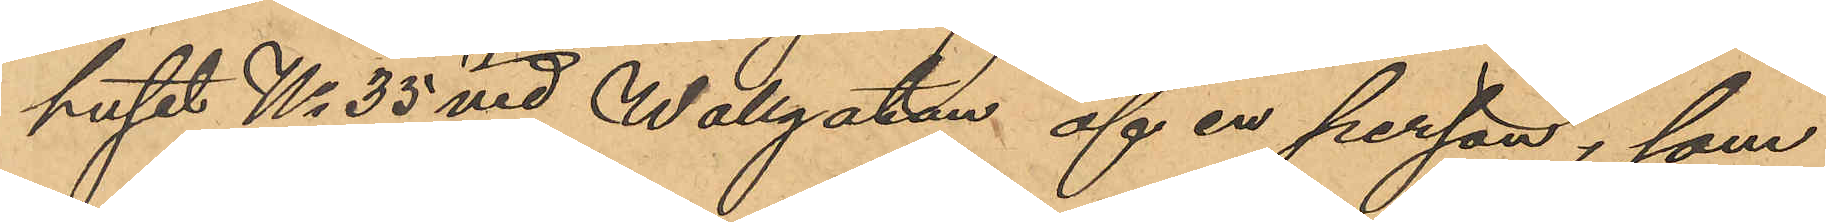huset No 35 vid Wallgatan af en person, som
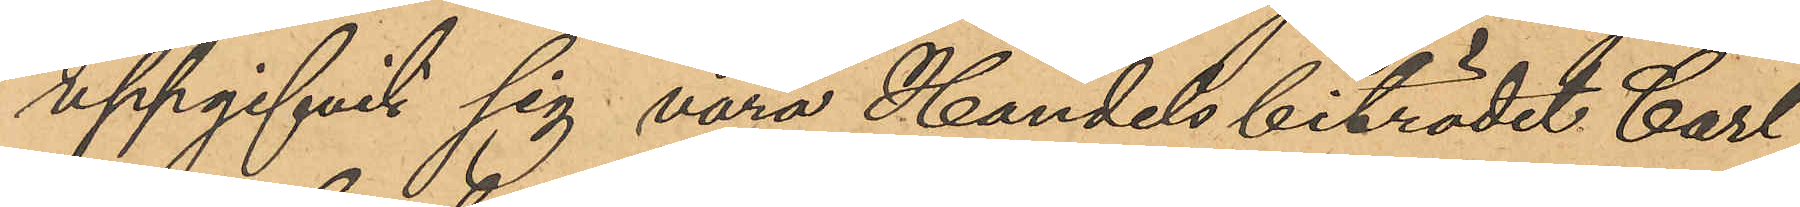uppgifvit sig vara Handelsbiträdet Carl
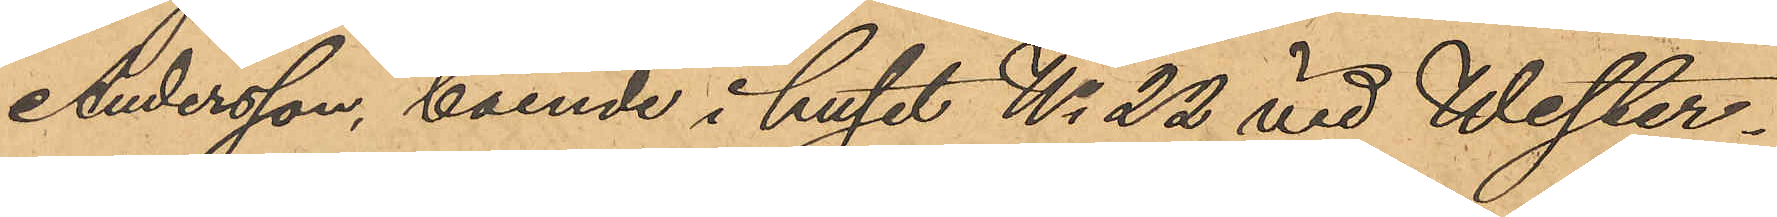Andersson, boende i huset No 22 vid Wester¬
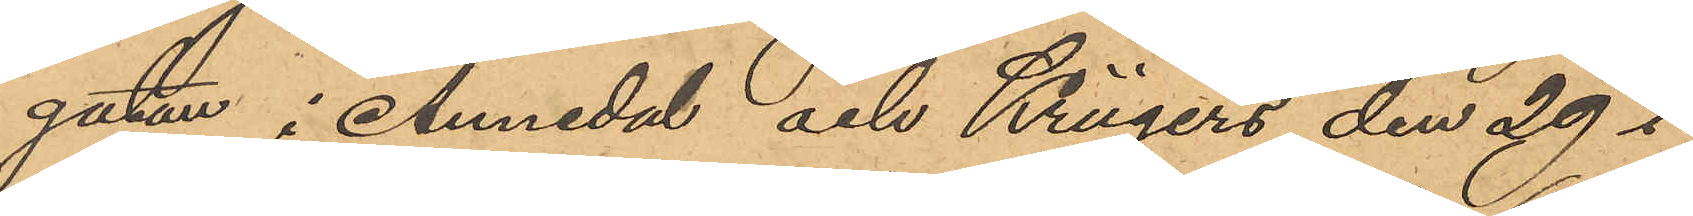gatan i Annedal och Krügers den 29 i
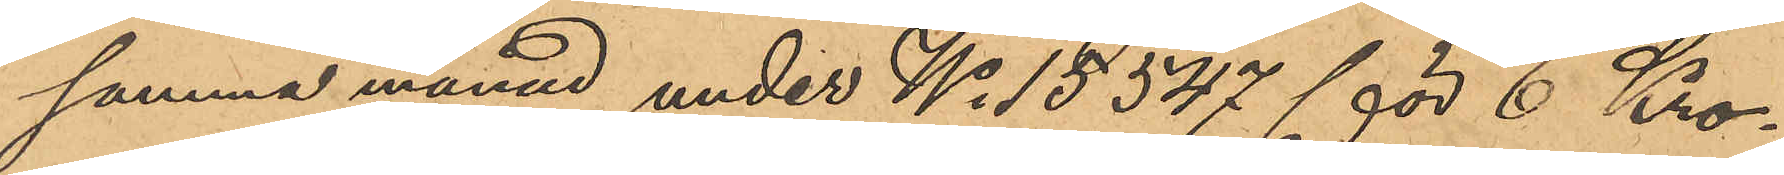samma månad under No 15547 för 6 Kro¬
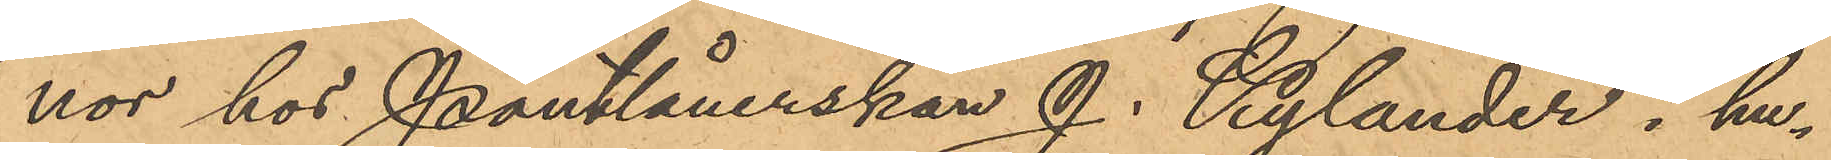nor hos Pantlånerskan J. Kylander i hu¬
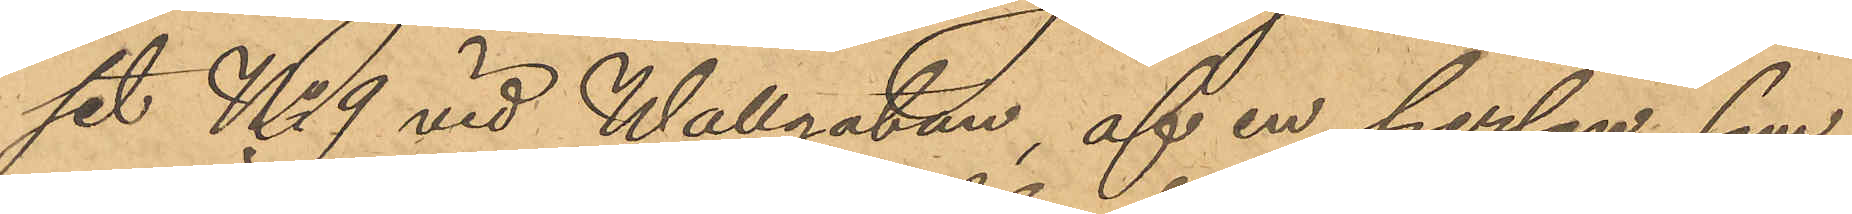set No 9 vid Wallgatan, af en person, som
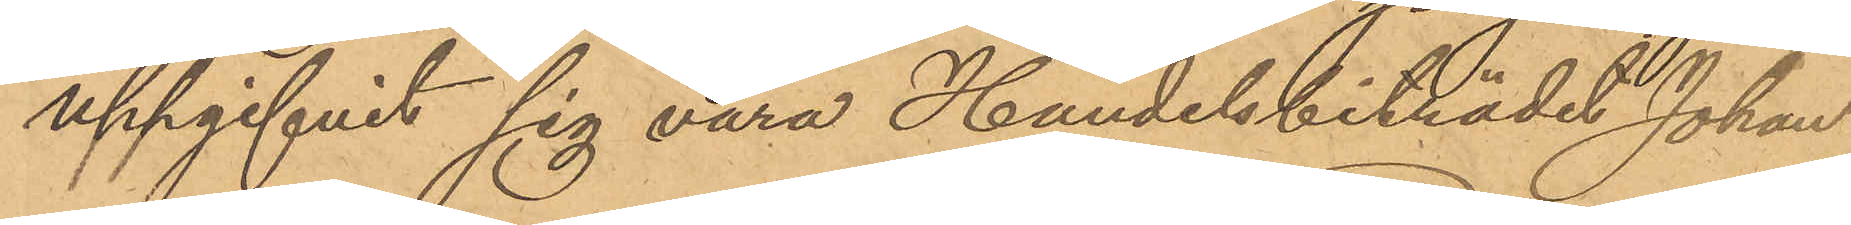uppgifvit sig vara Handelsbiträdet Johan
